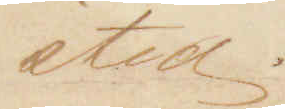sted.
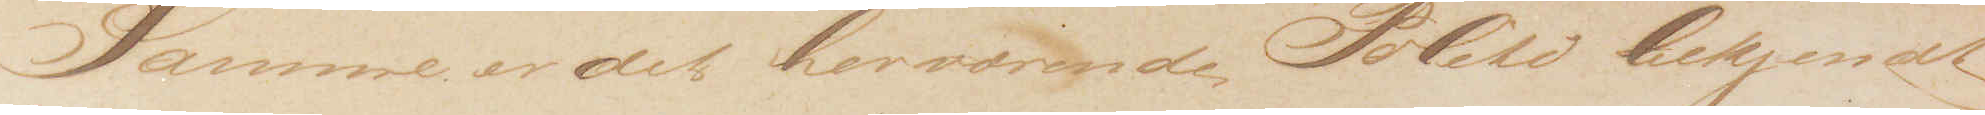Samme er det herværende Politi bekjendt
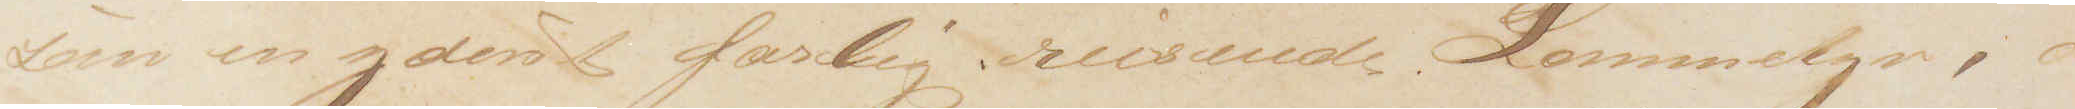som en yderst farlig reisende Lommetyv, der
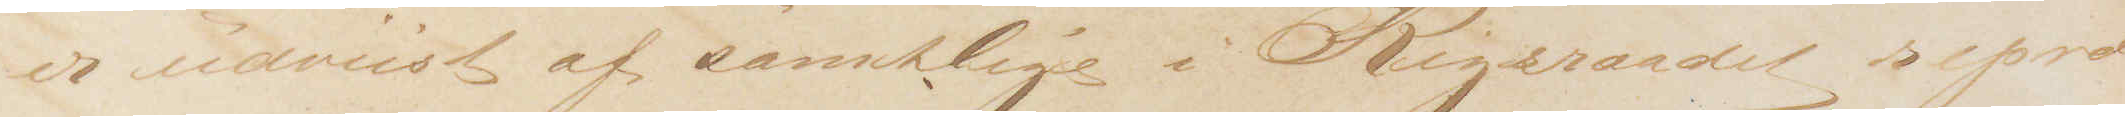er udviist af samtlige i Rigsraadet repræ¬
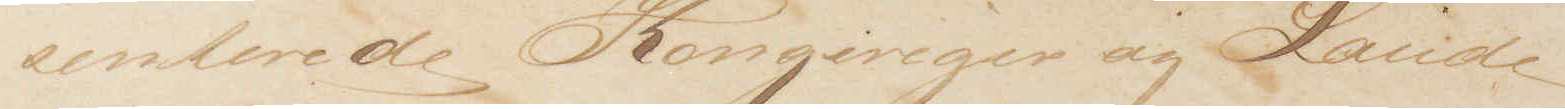senterede Kongeriger og Lande
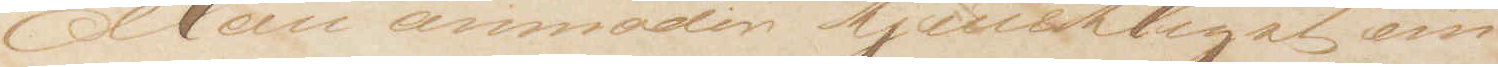Man anmoder tjenstligst om 
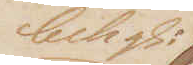behgl:
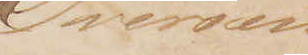Oversen¬
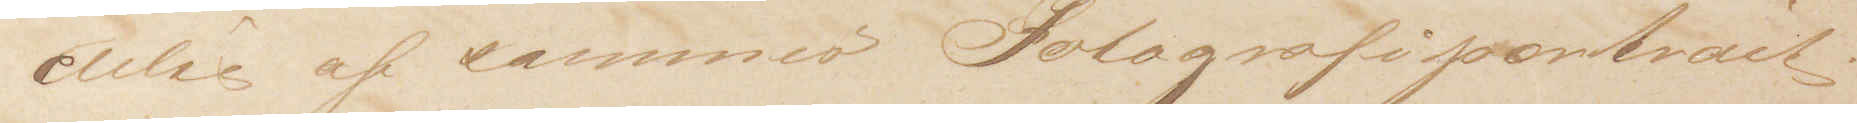delse af sammes Fotografiportrait.
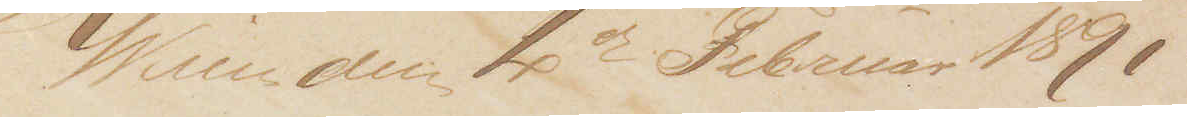Wien den 4de Februar 1891
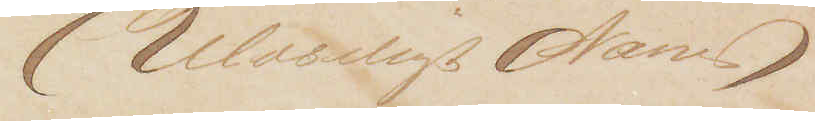(Ulæseligt Navn)
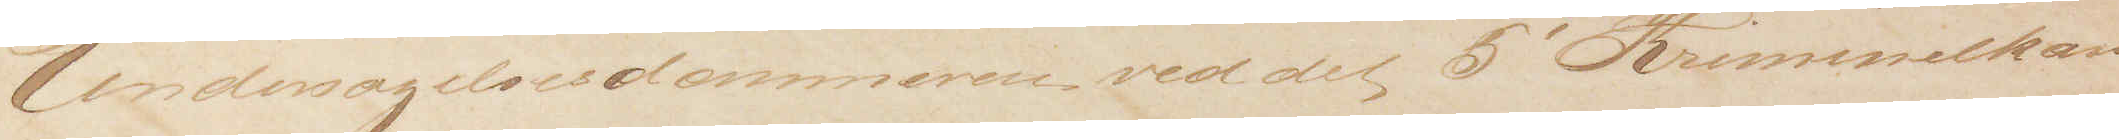Undersøgelsesdommeren ved det 5' Kriminelkamm
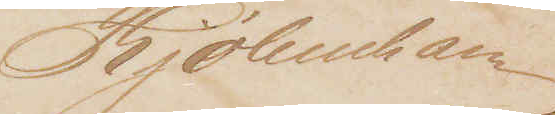Kjøbenhavn
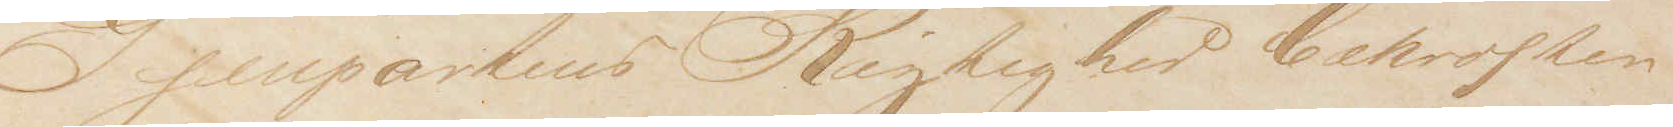Gjenpartens Rigtighed bekræftes
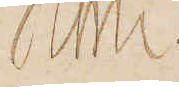Kmn.
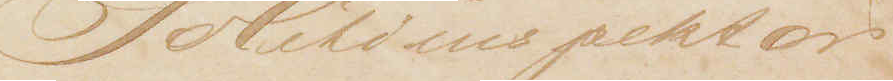Politiinspektør.
